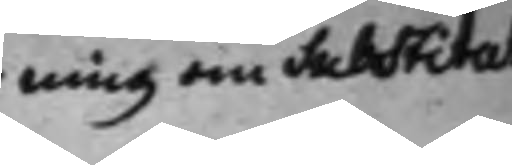ning om Substitut
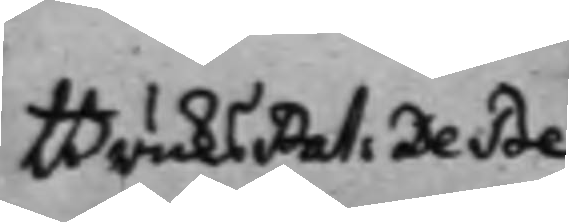BruksPat: De Be¬
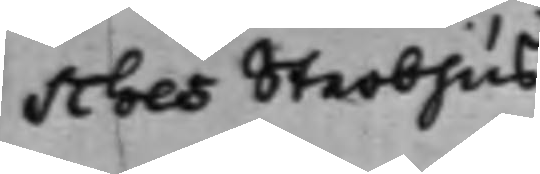sches Sterbhus
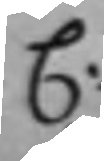C:
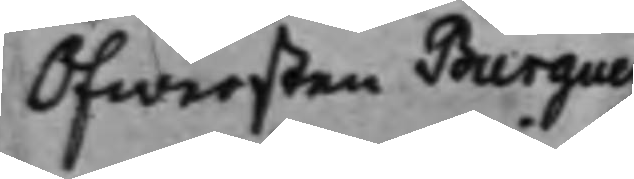Öfwersten Burguer
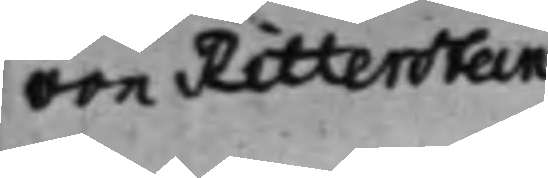von Ritterstein
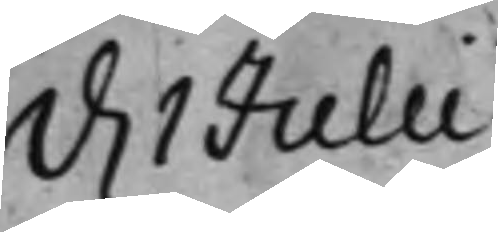d. 1 Julii.
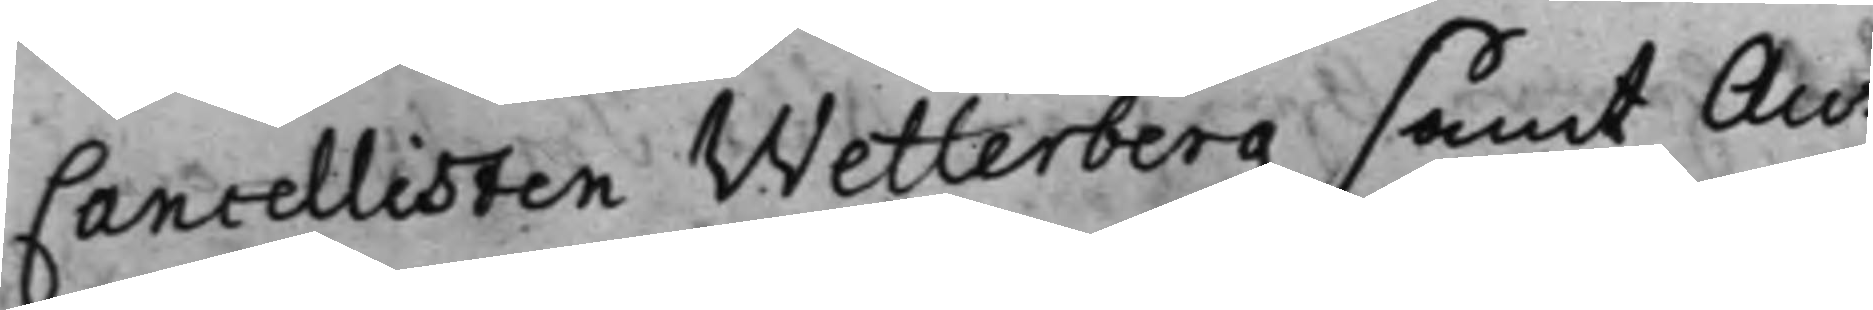Cancellisten Wetterberg samt Au¬
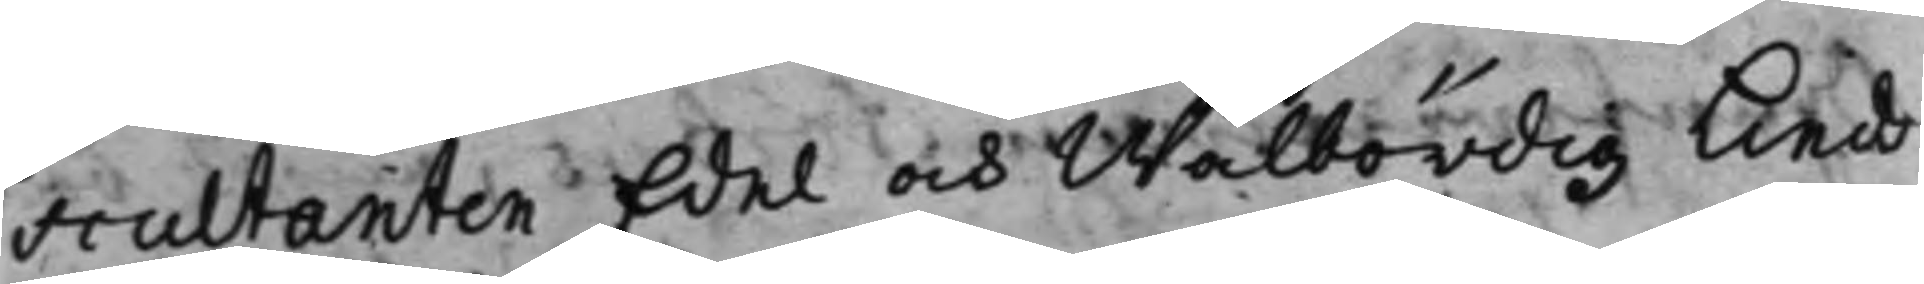scultanten Edel och Wälbördig Lind¬
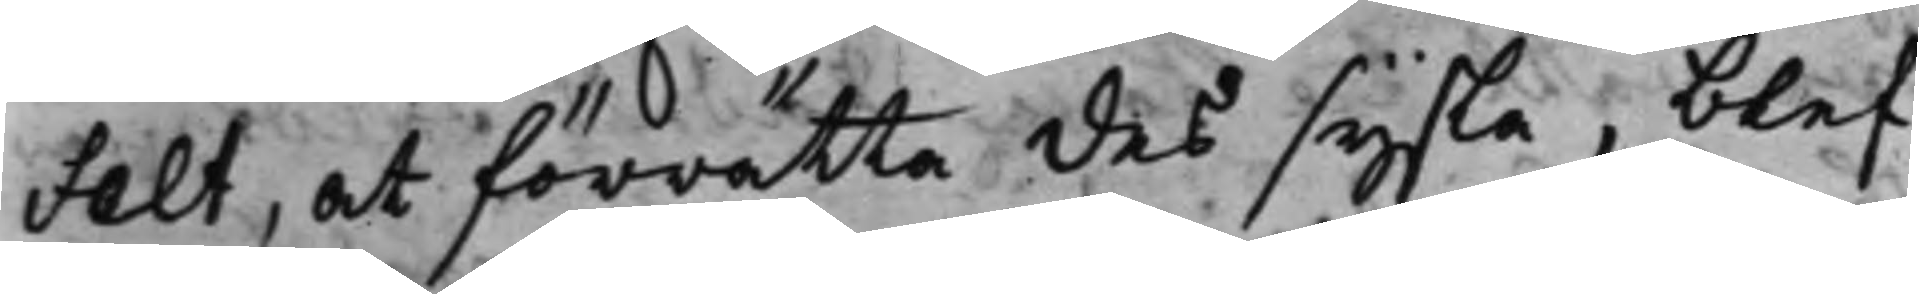felt, at förrätta des sysla, blef
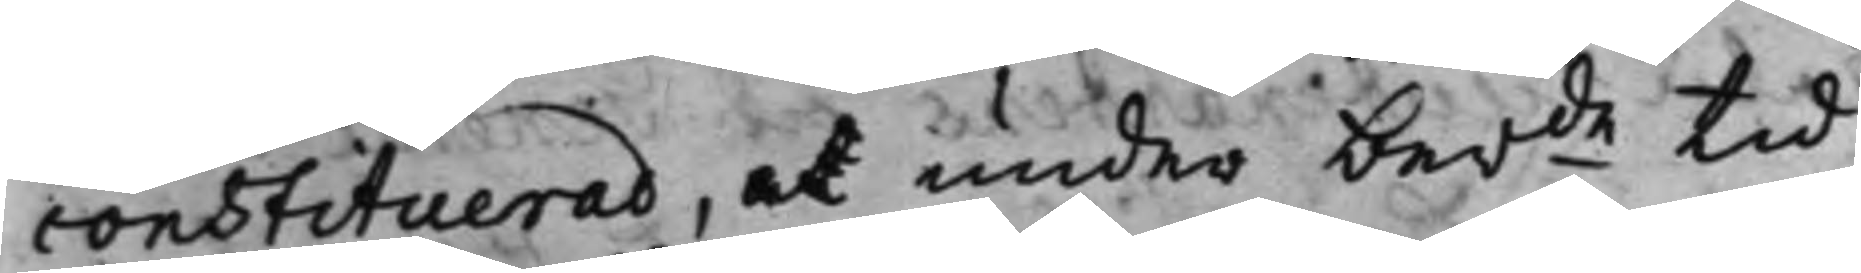constituerad, at under ber.de tid
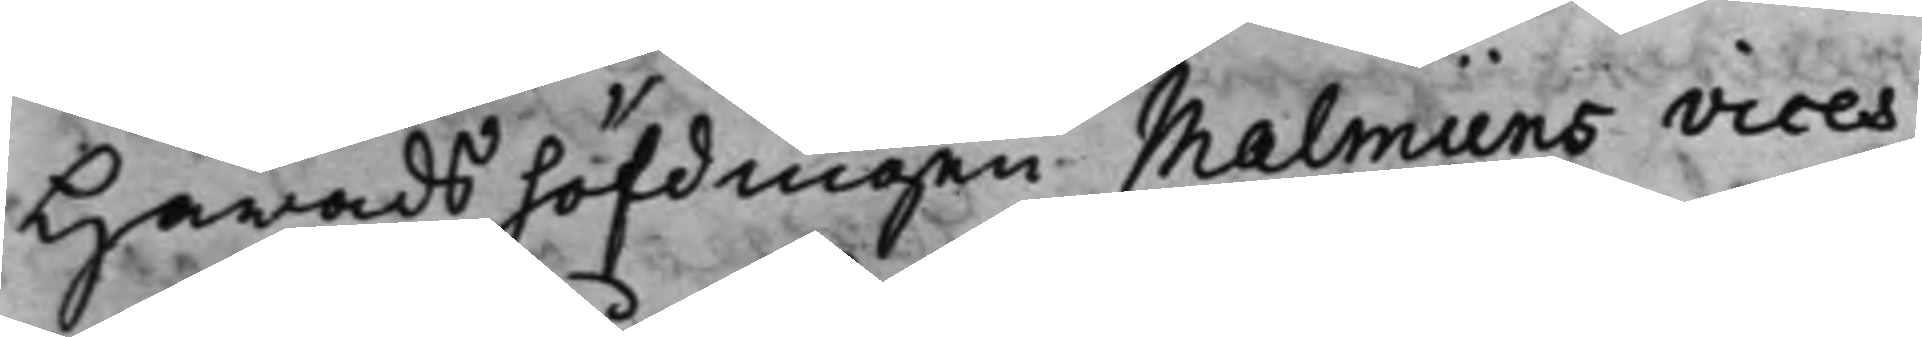Härads höfdingen Malmiins vices
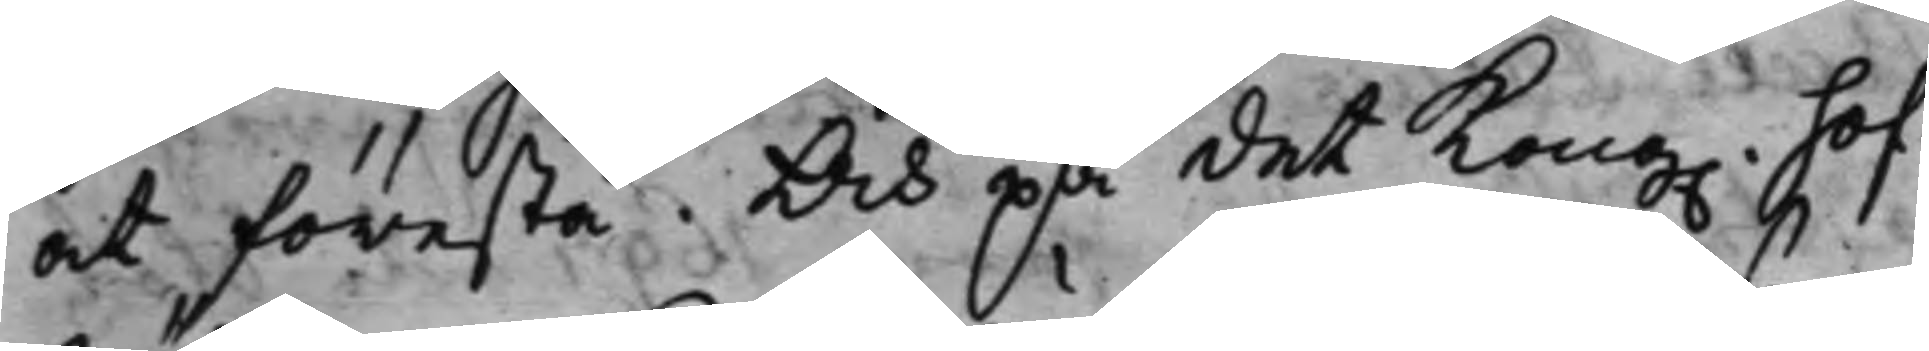at förestå. Och på det Kong. Hof¬
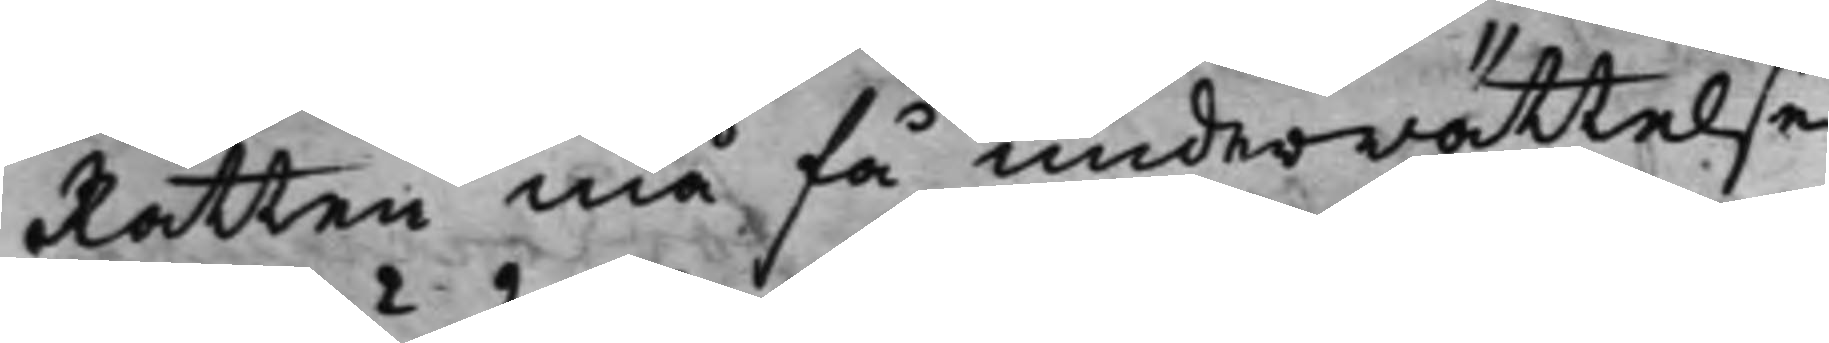Rätten må få underrättelse
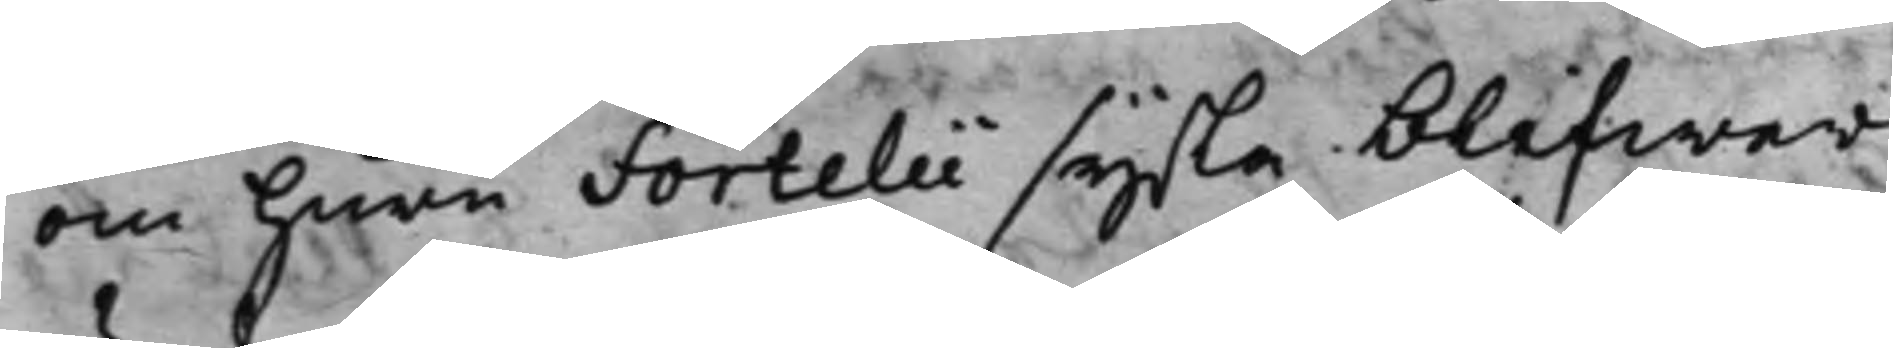om huru Fortelii sysla blifwer
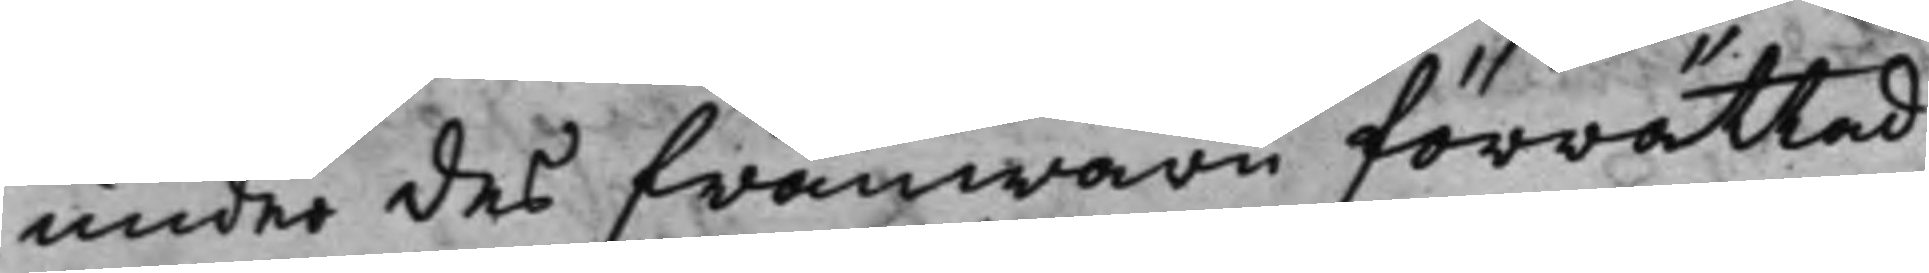under des frånwaru förrättad;
